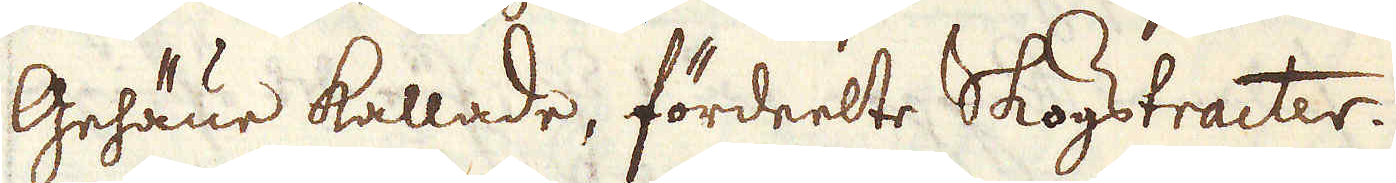Gehäue kallade, fördeelte Skogstracter.
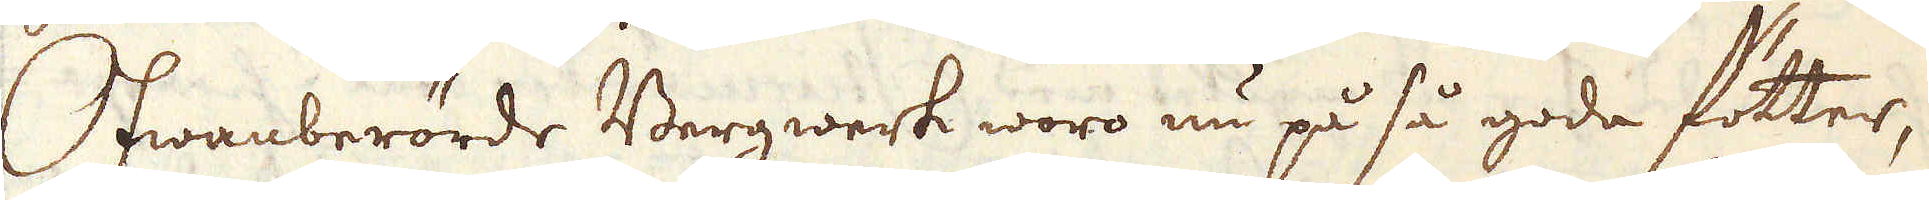Ofwanberörde Bergwerk woro nu på så goda fötter,
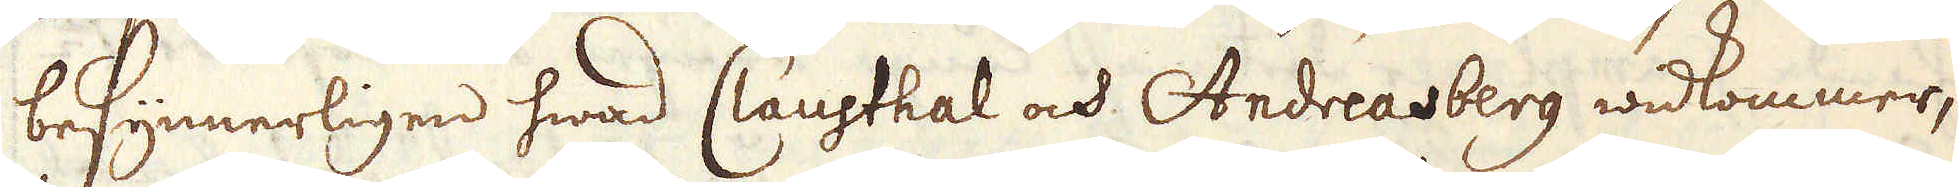befynnerligen hwad Clausthal och Andreasberg widkommer,
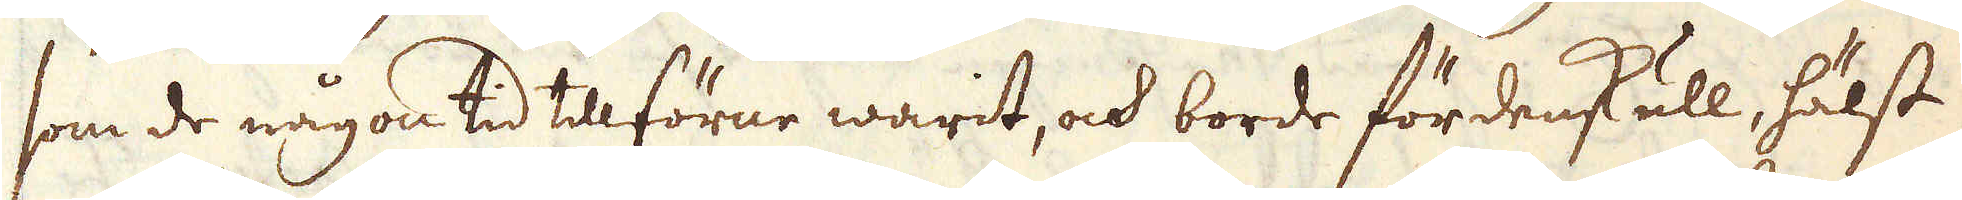som de någon tid tillförne warit, och borde fördenskull, hälst
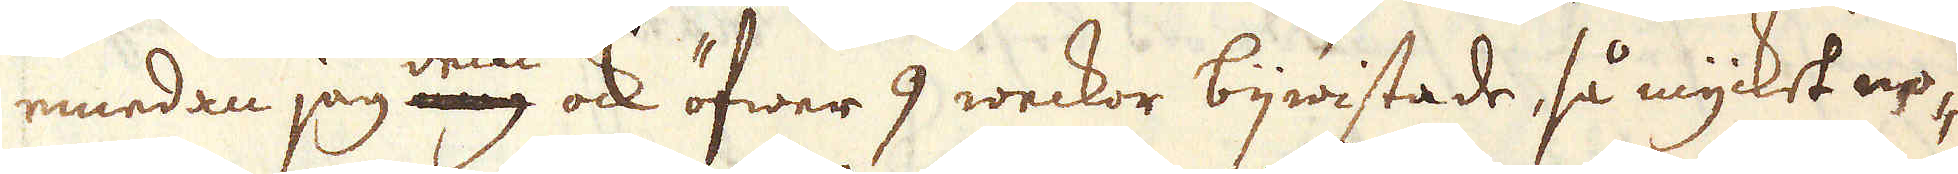emedan jag dem ock öfwer 9 weckor bijwistade, så mycket no-
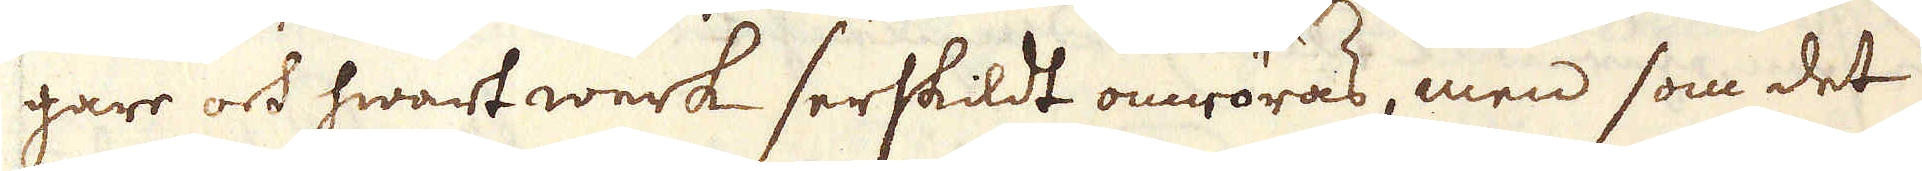gare och hwart werk serskildt omröras, men som det
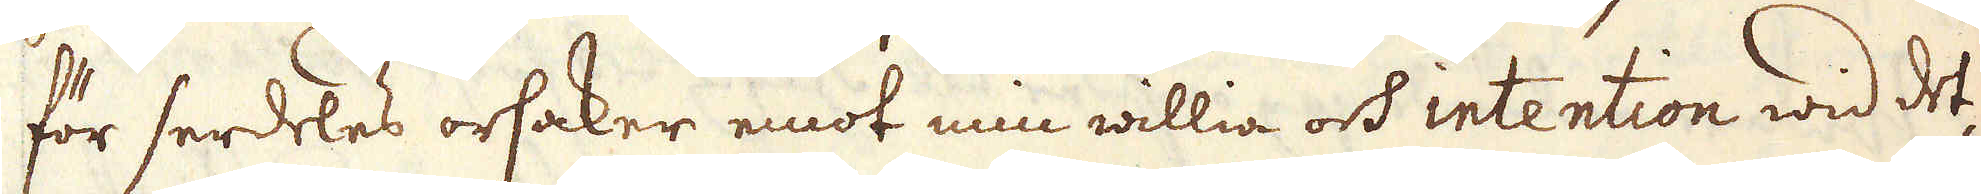för serdeles orsaker emot min willia och intention wid det-
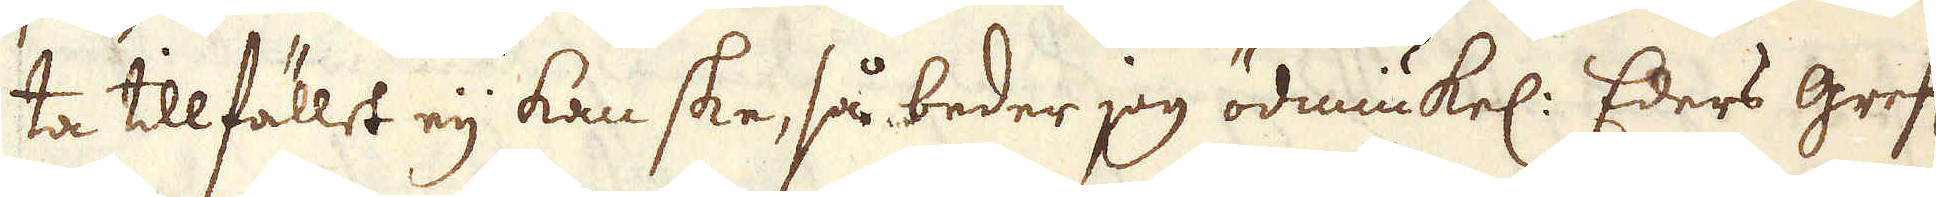ta tillfället eij kan ske, så beder jag ödmiukel: Eders grefl:
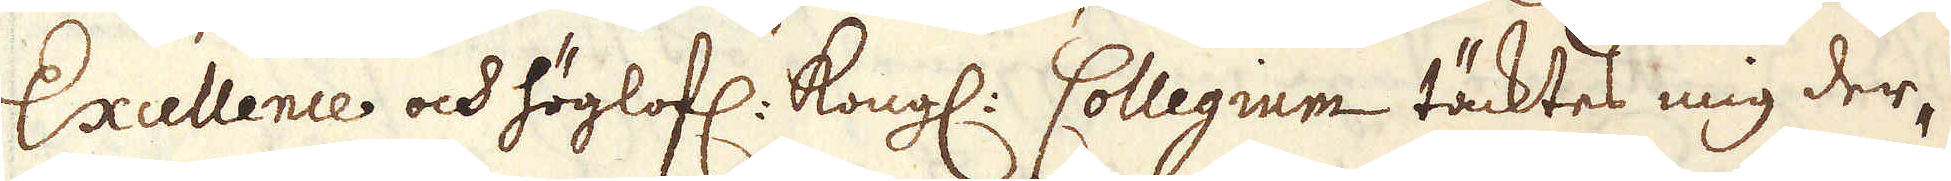Excellence och höglofl. Kongl. Collegium täcktes mig der-
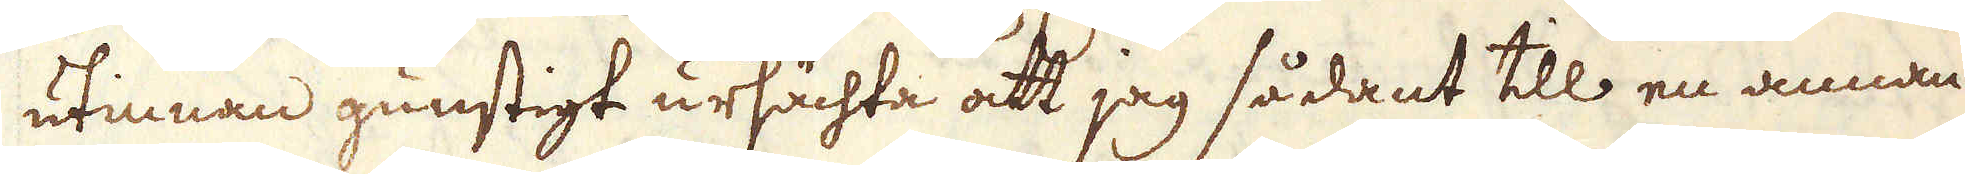utinnan gunstigt ursächta att jag sådant till en annan
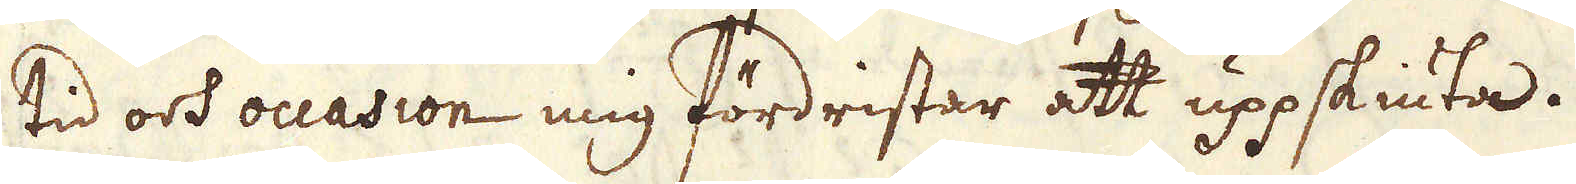tid och occasion mig fördristar att uppskiuta.
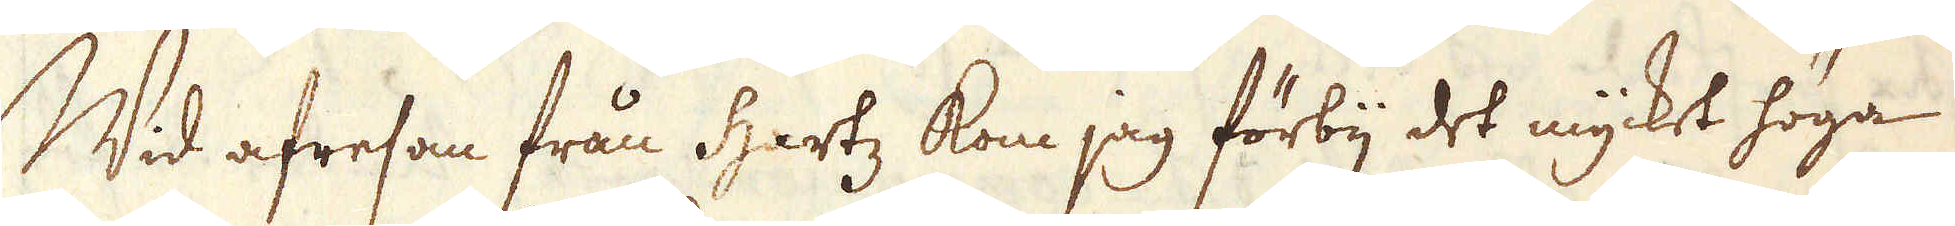Wid afresan från Hartz kom jag förbij det mycket höga
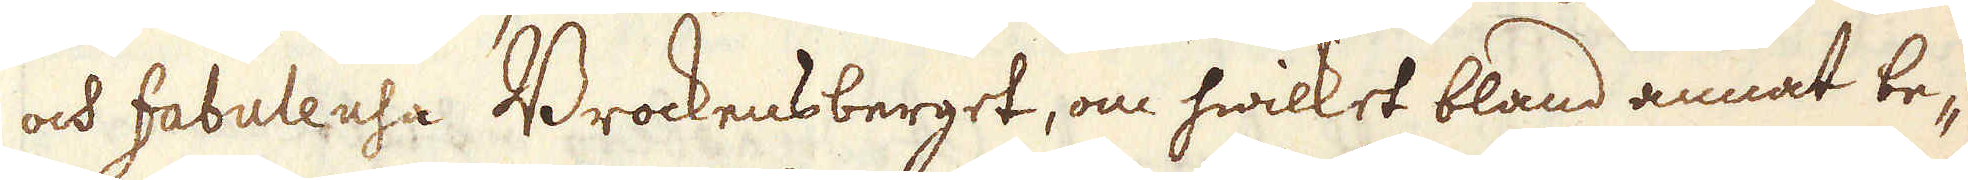och fabuleusa Brockensberget, om hwilket bland annat be-
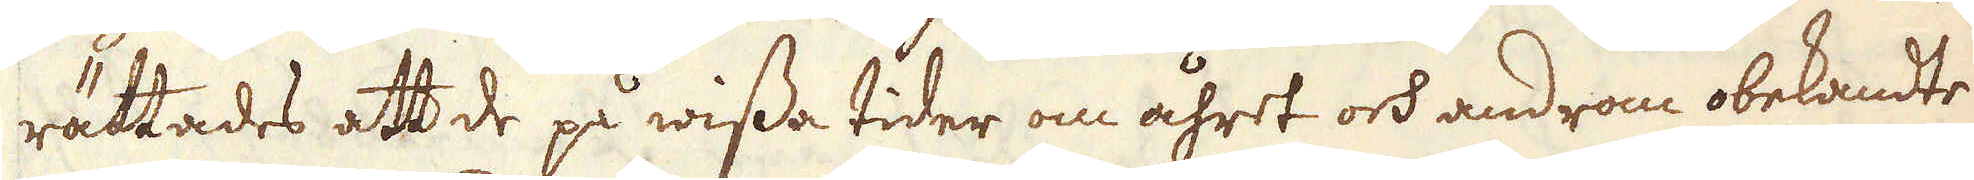rättades att de på wissa tider om åhret och androm obekandte
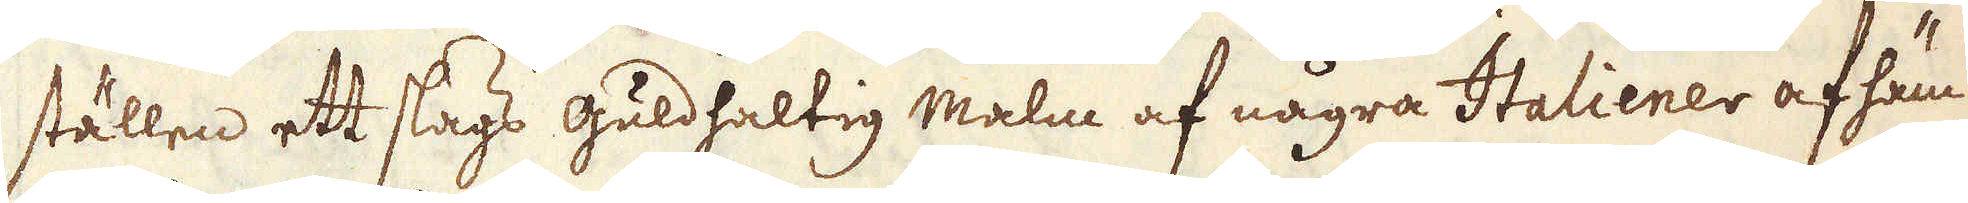ställen ett slags guldhaltig malm af några Italiener af häm-
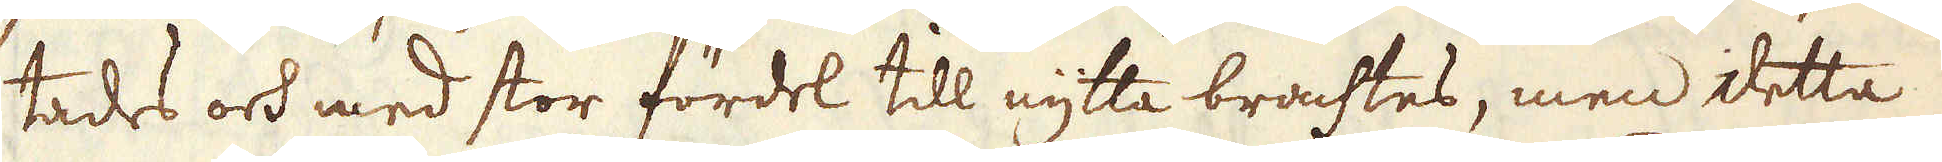tades och med stor fördel till nytta brachtes, men detta
